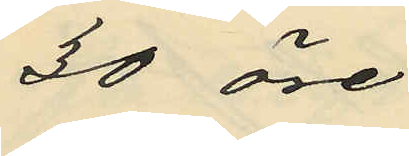30 öre
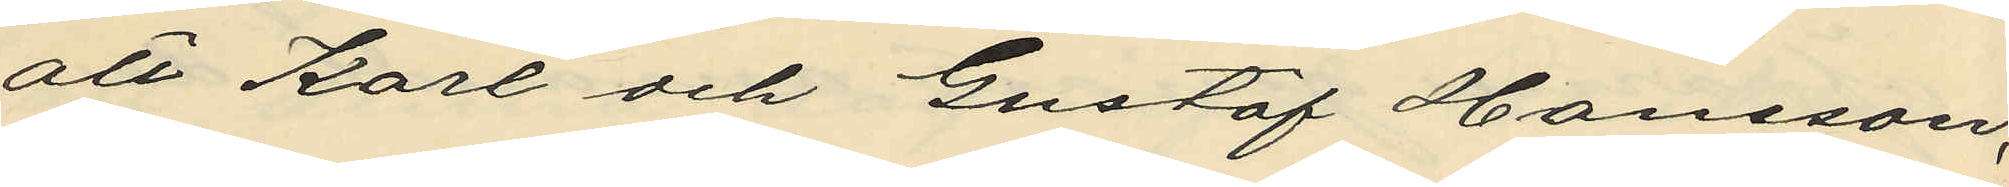att Karl och Gustaf Hansson,
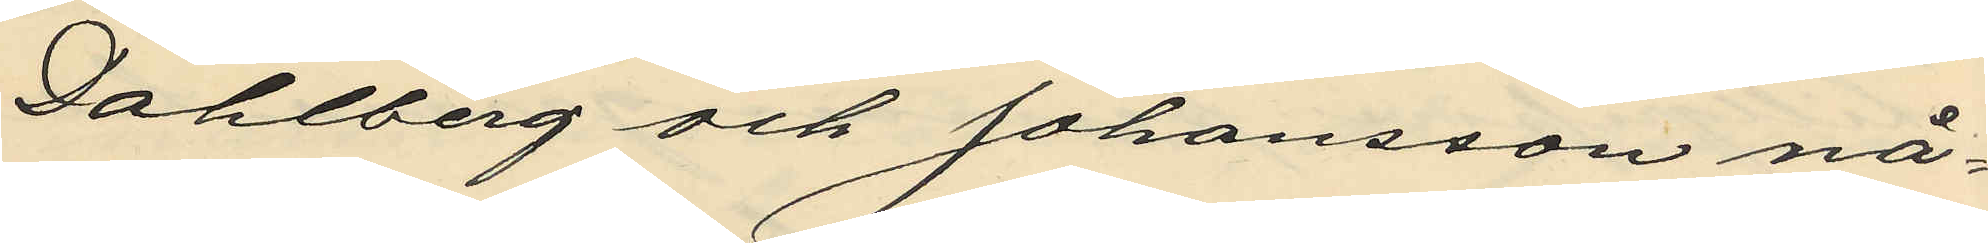Dahlberg och Johansson nå¬
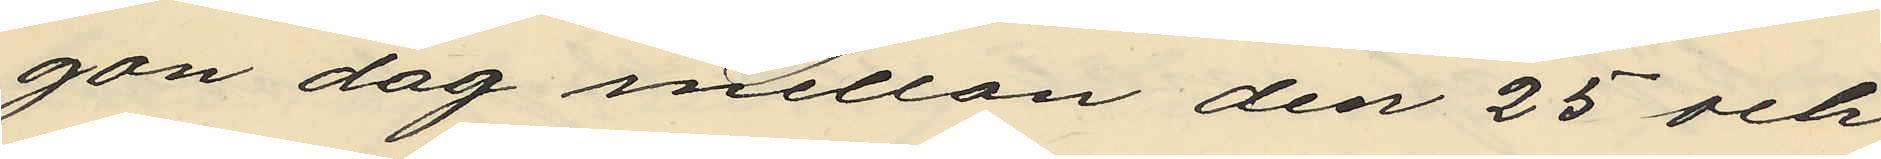gon dag mellan den 25 och
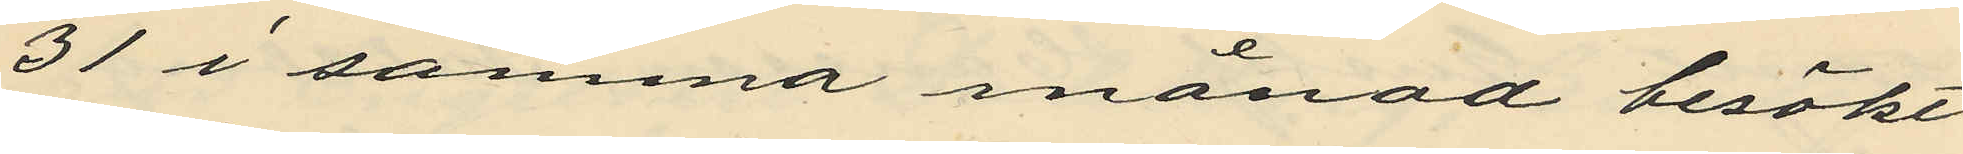31 i samma månad besökt
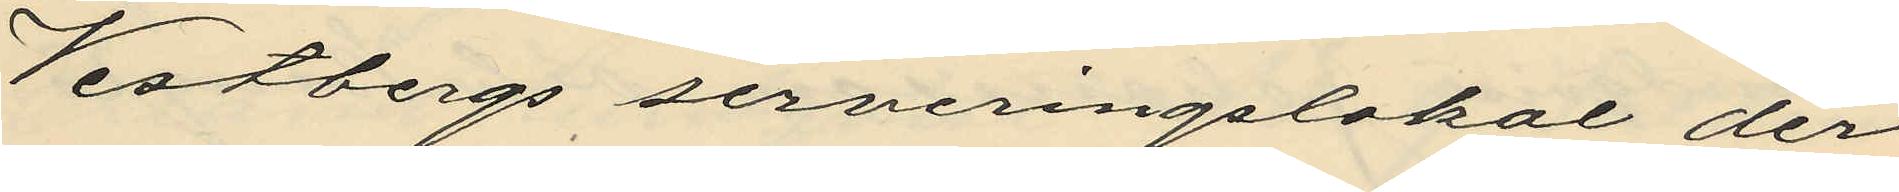Vestbergs serveringslokal der
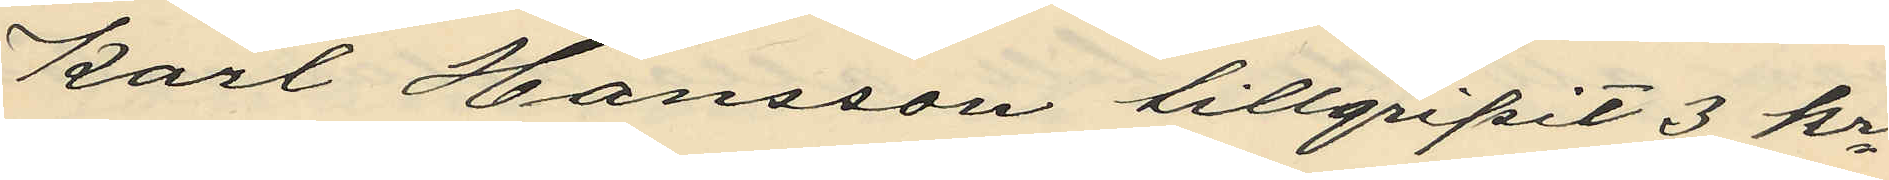Karl Hansson tillgripit 3 kr
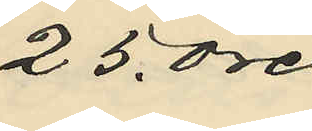25 öre
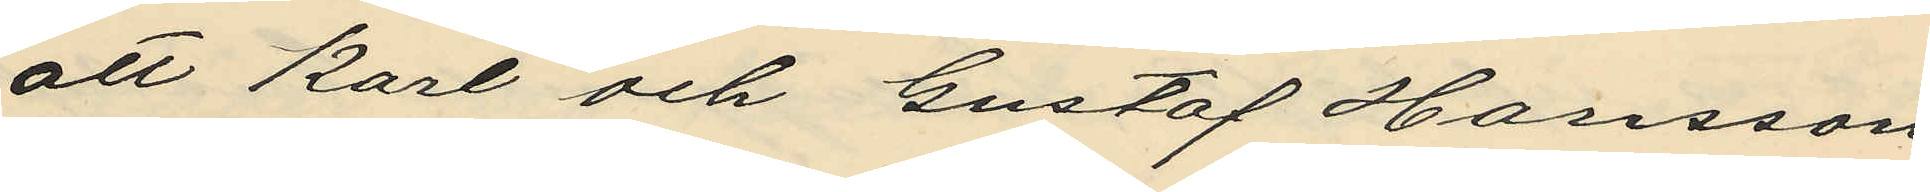att Karl och Gustaf Hansson
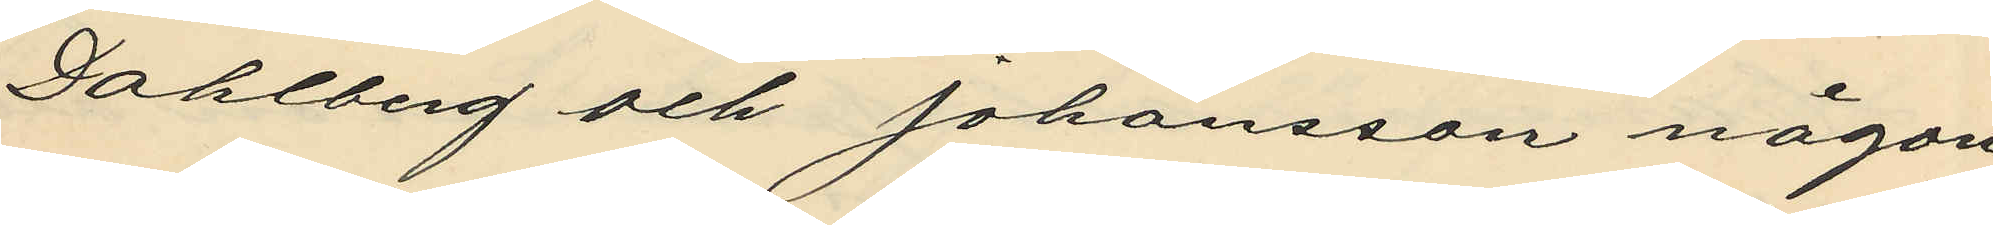Dahlberg och Johansson någon
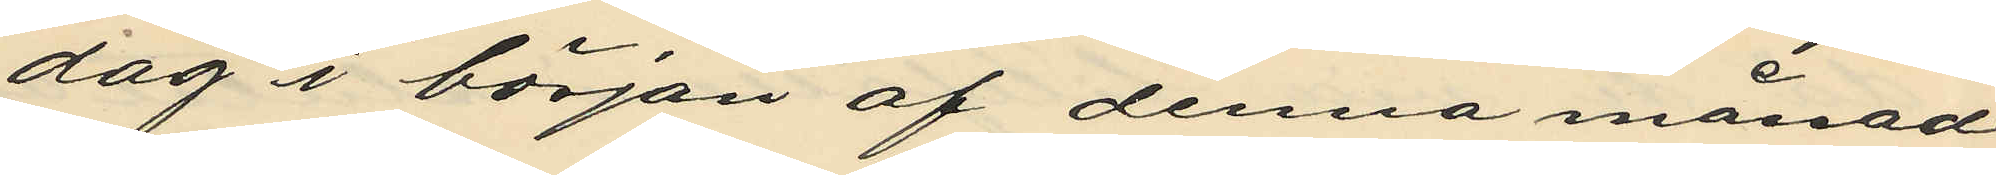dag i början af denna månad
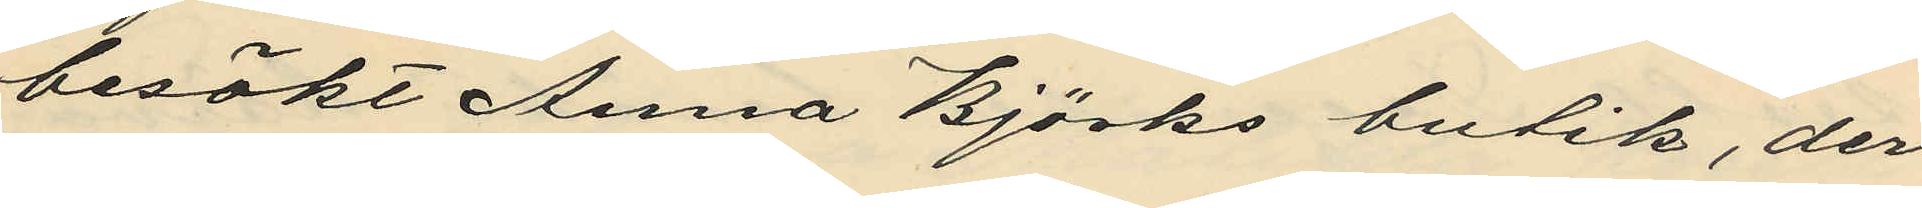besökt Anna Björks butik, der
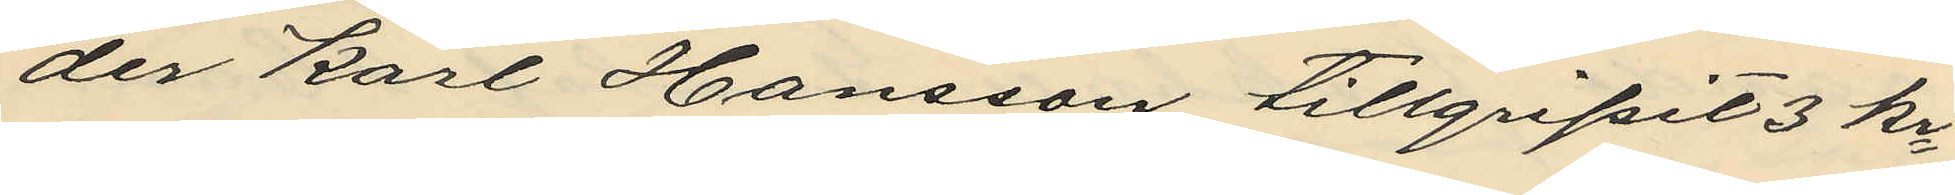der Karl Hansson tillgripit 3 kr
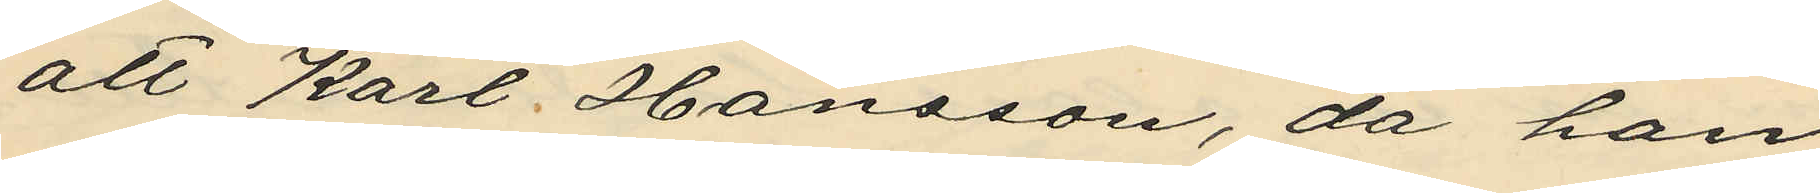att Karl Hansson, da han
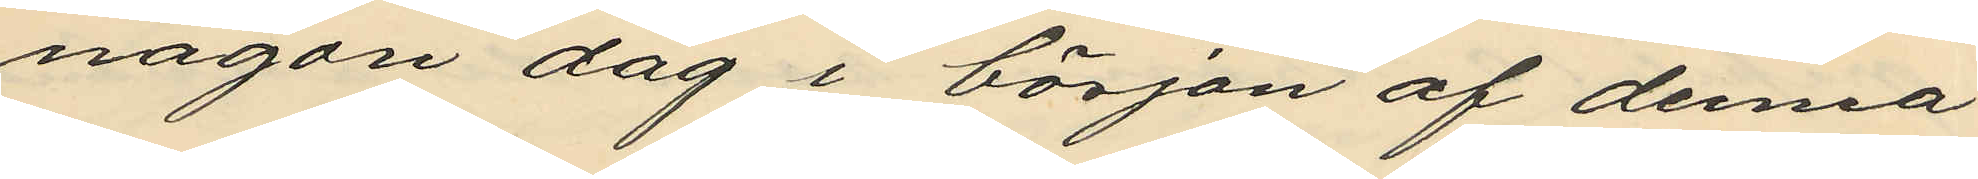någon dag i början af denna
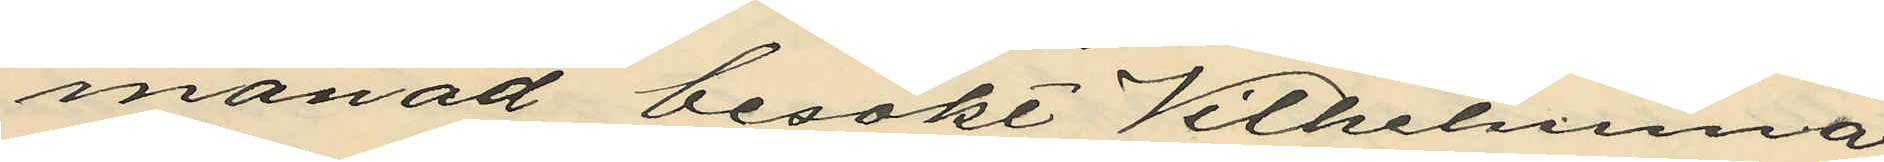månad besökt Vilhelmina
